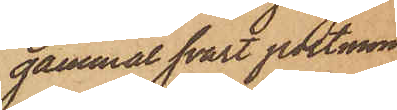gammal svart portmonnaie
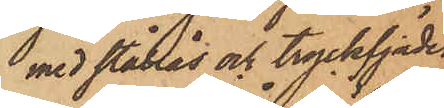med stållås och tryckfjäder,
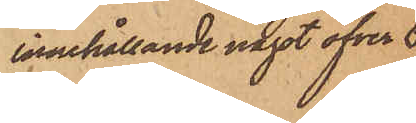innehållande något öfver 6
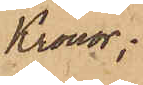Kronor;
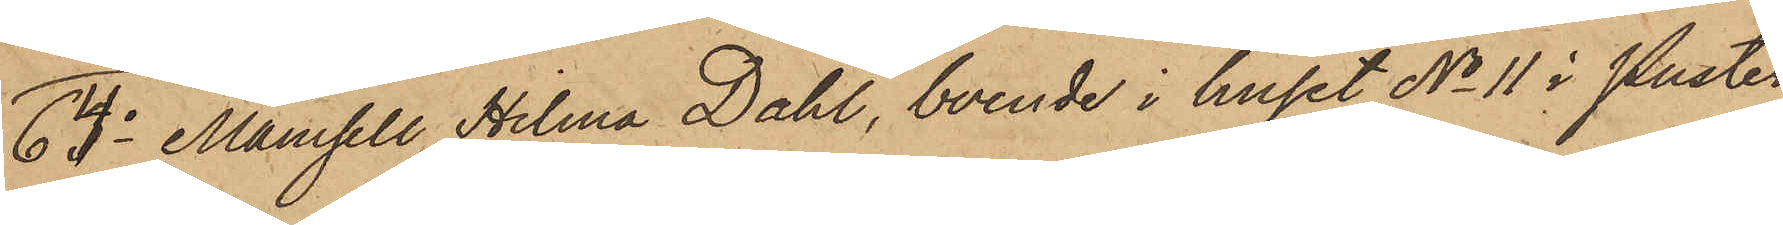64o Mamsell Hilma Dahl, boende i huset No 11 i Puster¬
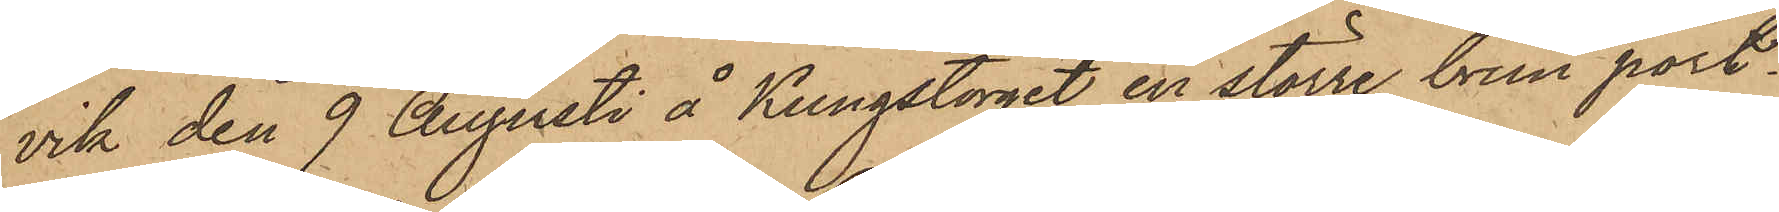vik den 9 Augusti å Kungstorget en större brun port¬
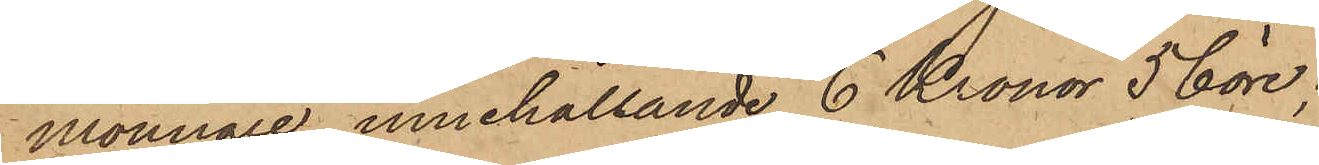monnaie, innehållande 6 Kronor 56 öre;
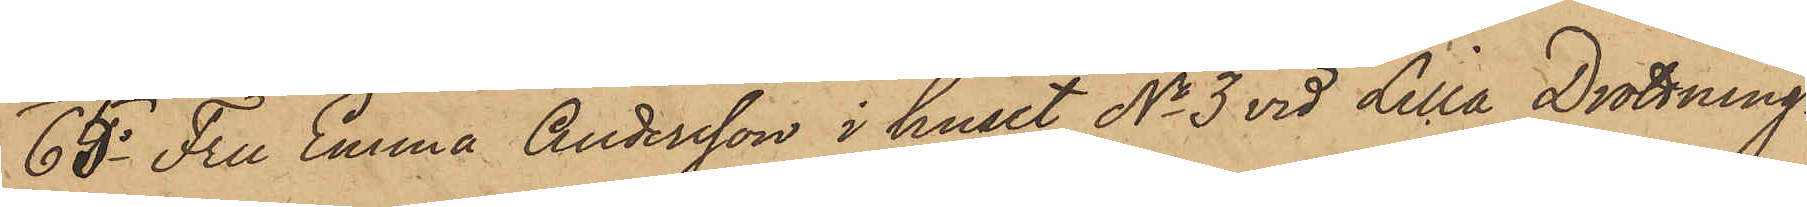65o Fru Emma Andersson i huset No 3 vid Lilla Drottning¬
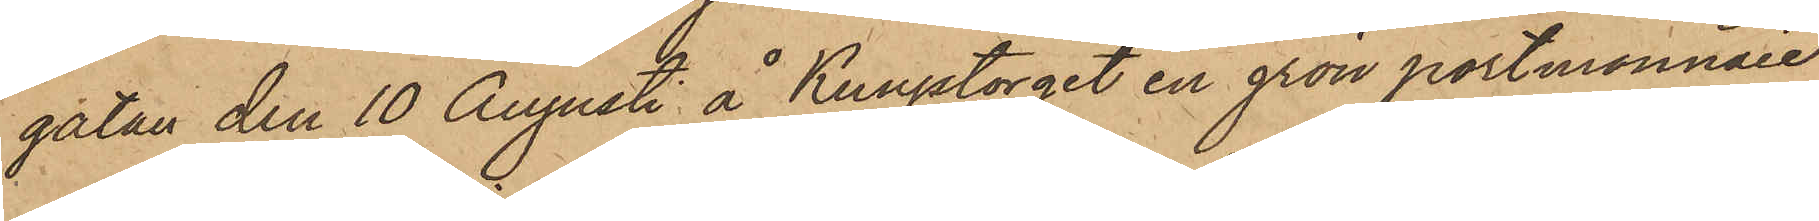gatan den 10 Augusti å Kungstorget en grön portmonnaie
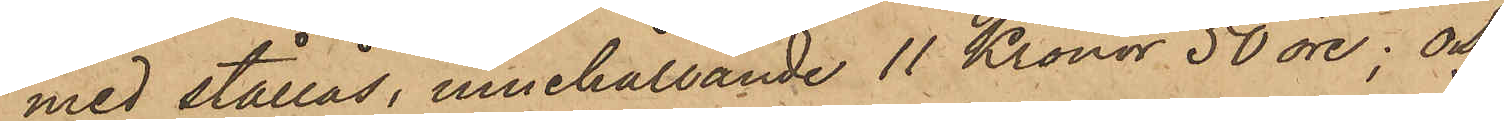med stållås, innehållande 11 Kronor 50 öre; och
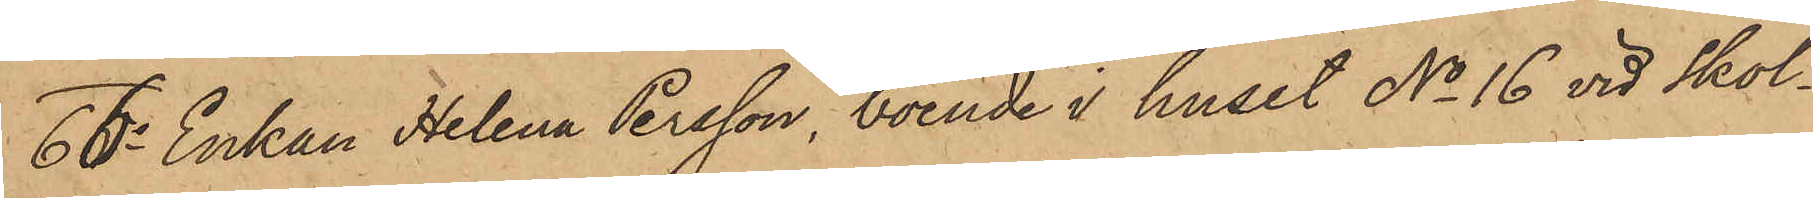66o Enkan Helena Persson, boende i huset No 16 vid Skol¬
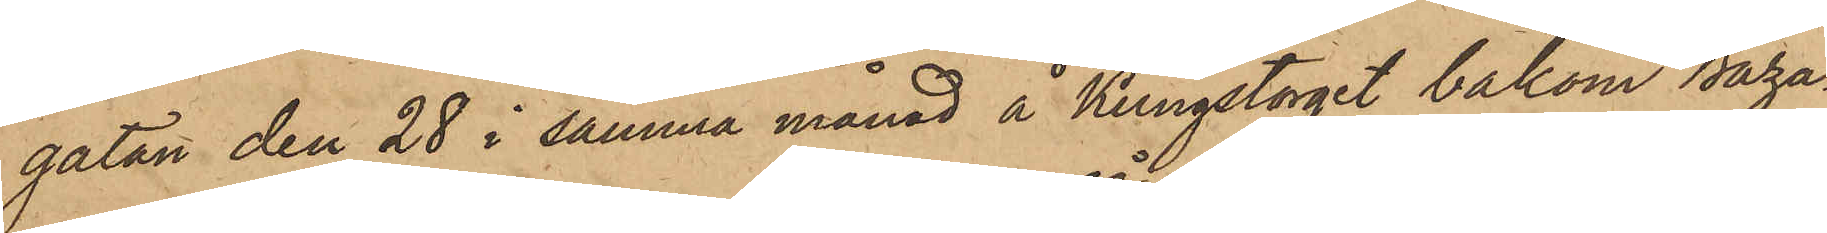gatan den 28 i samma månad å Kungstorget bakom Baza¬
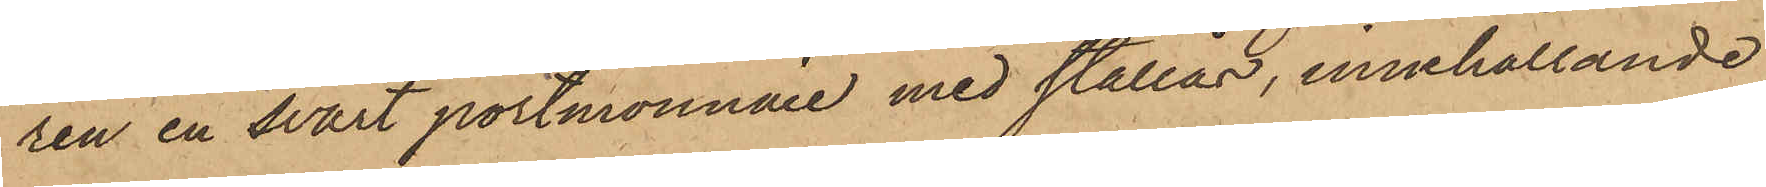ren en svart portmonnaie med stållås, innehållande
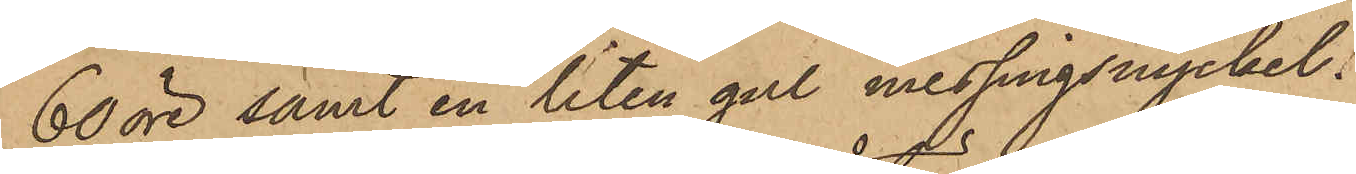60 öre samt en liten gul messingsnyckel;
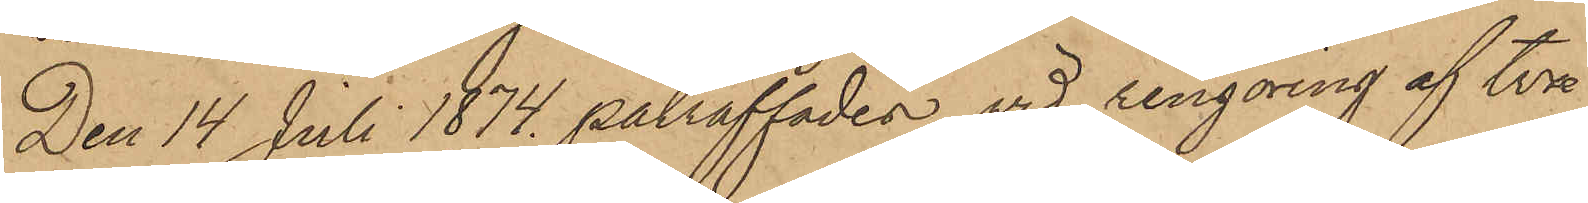Den 14 Juli 1874 påträffades vid rengöring af två
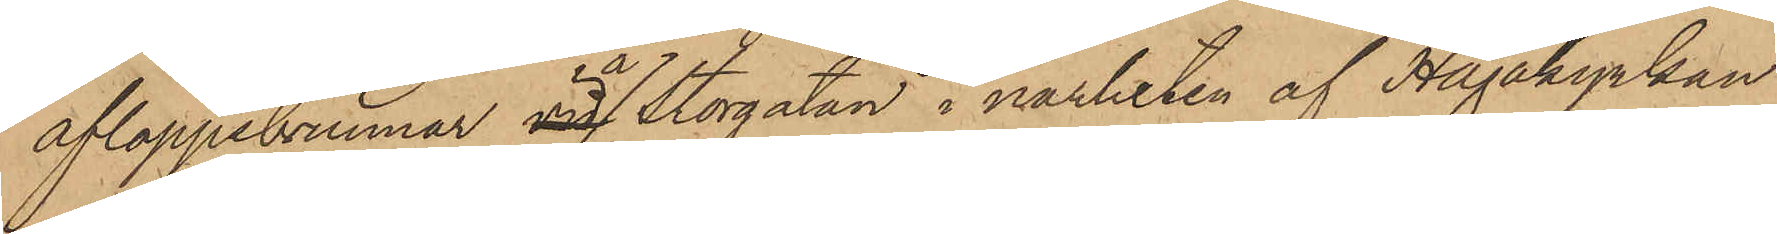afloppsbrunnar vid å Storgatan i närheten af Hagakyrkan
